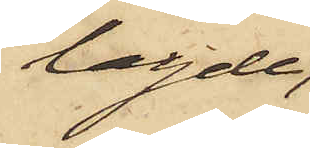lagde;
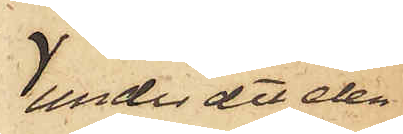under det den
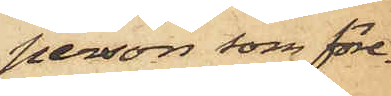person som före¬
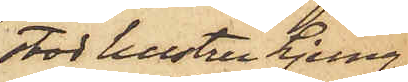stod hustru Ljung¬
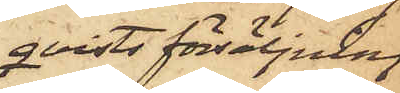qvists försäljning
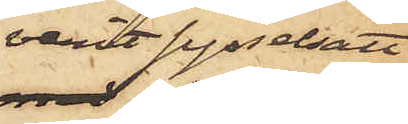varit sysselsatt
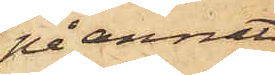på annat
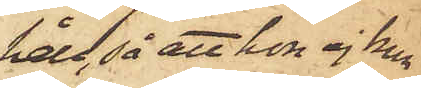håll, så att hon ej kun¬
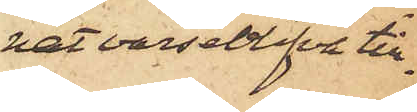nat varseblifva till¬
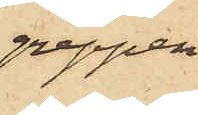greppen.
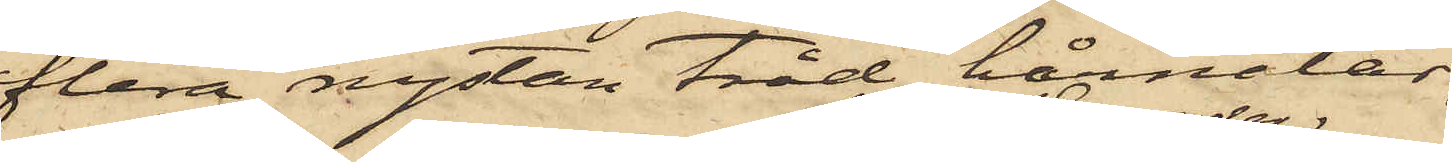flera nystan tråd, hårnålar,
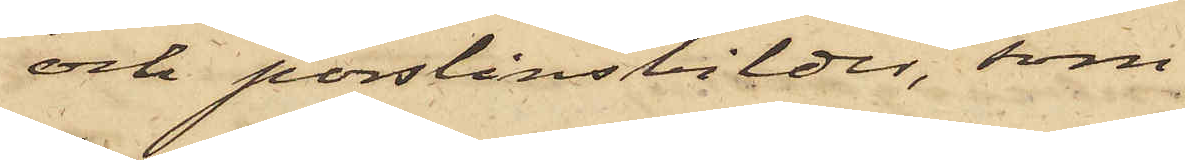och porslinsbilder, som
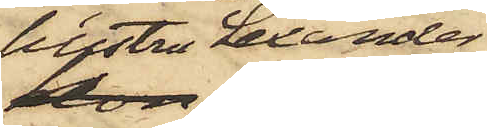hustru Lexander
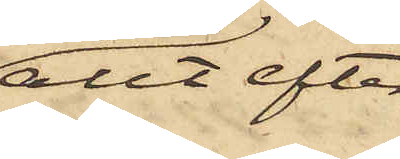allt efter
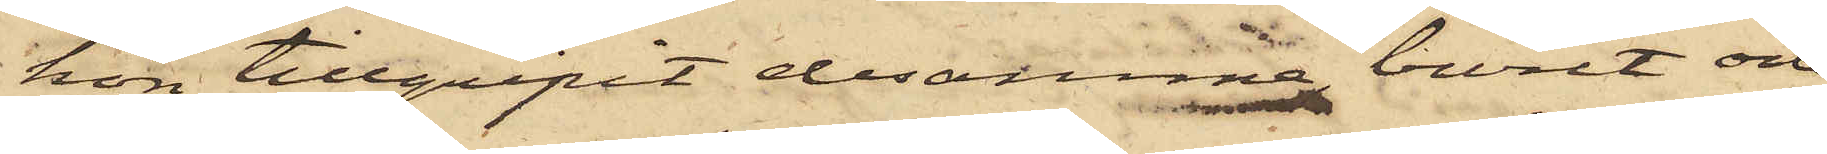hon tillgripit desamma buret och
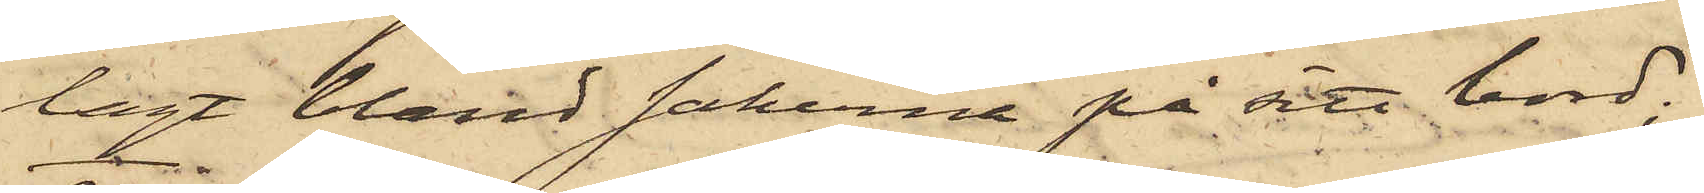lagt bland sakerna på sitt bord;
